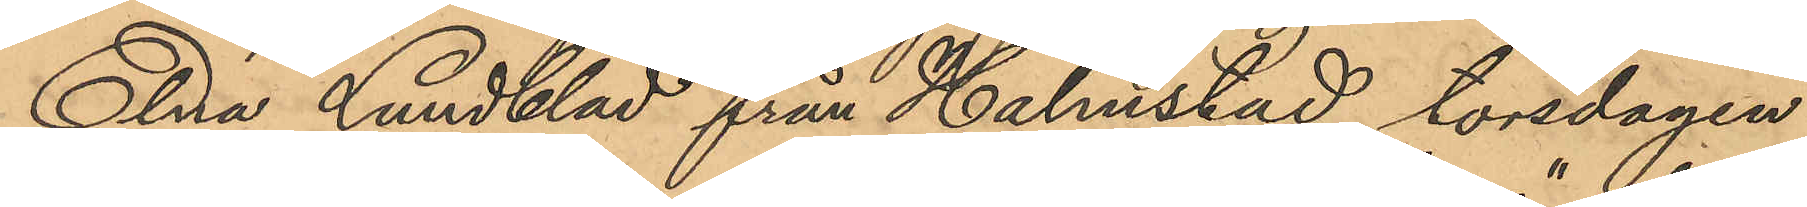Elna Lundblad från Halmstad, torsdagen
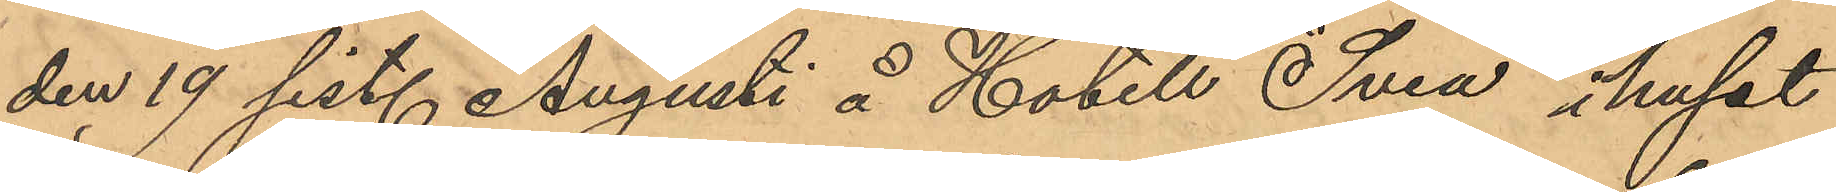den 19 sist. Augusti å Hotell "Svea" i huset
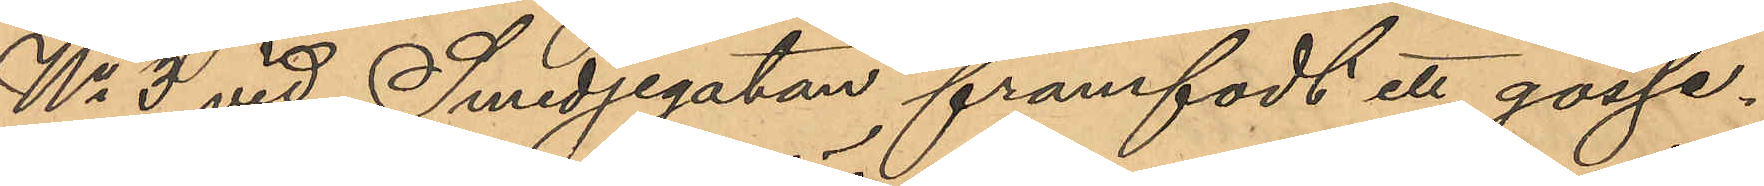No 3 vid Smedjegatan framfödt ett gosse¬
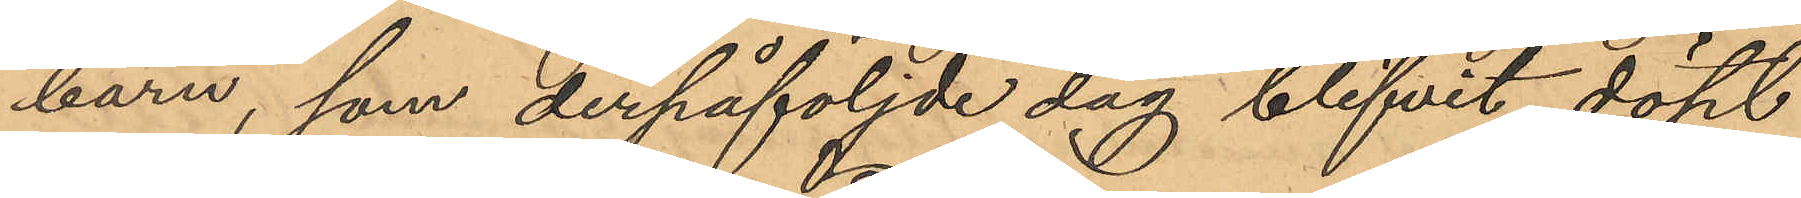barn, som derpåföljde dag blifvit döpt
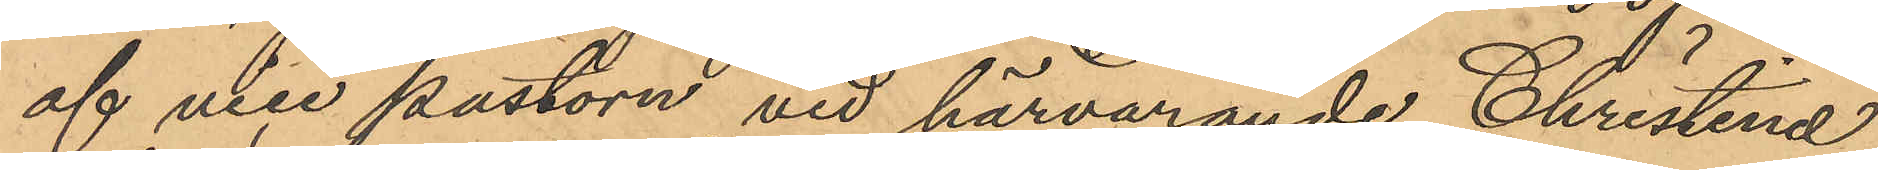af vice pastorn vid härvarande Christinae
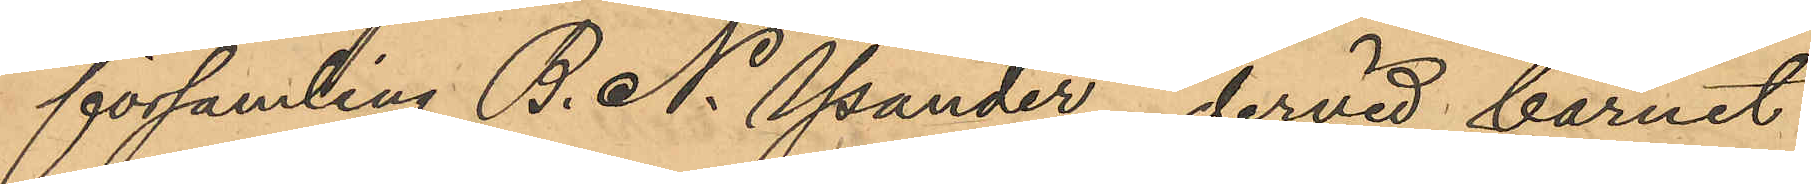församling B. N. Ysander, dervid barnet
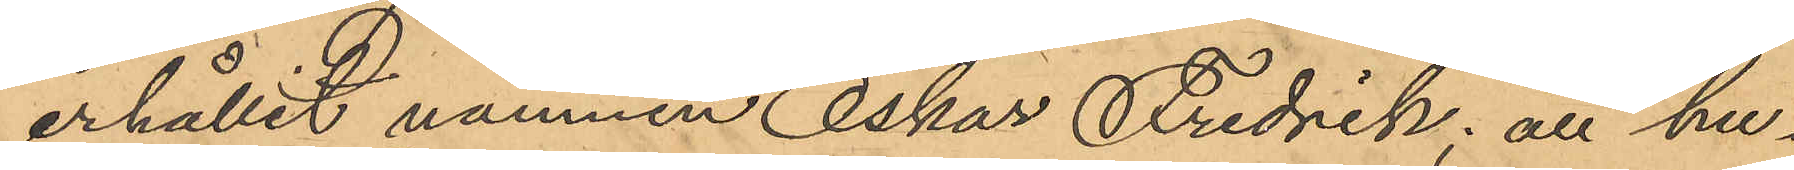erhållit namnen Oskar Fredrik; att hu¬
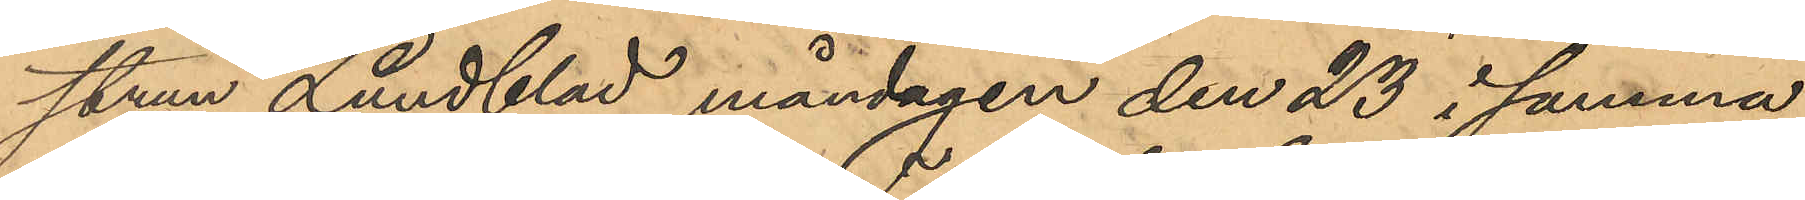strun Lundblad måndagen den 23 i samma
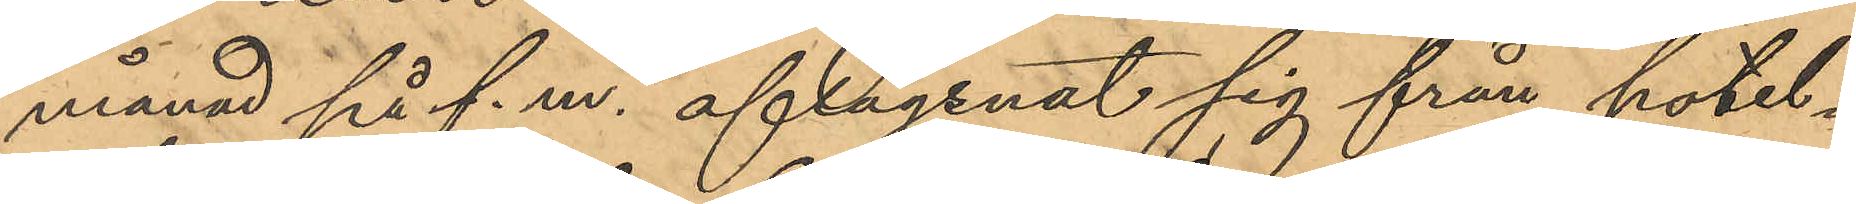månad på f. m. aflägsnat sig från hotel¬
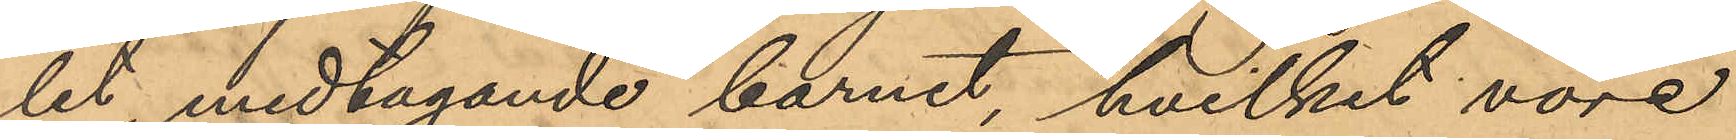let, medtagande barnet, hvilket vore
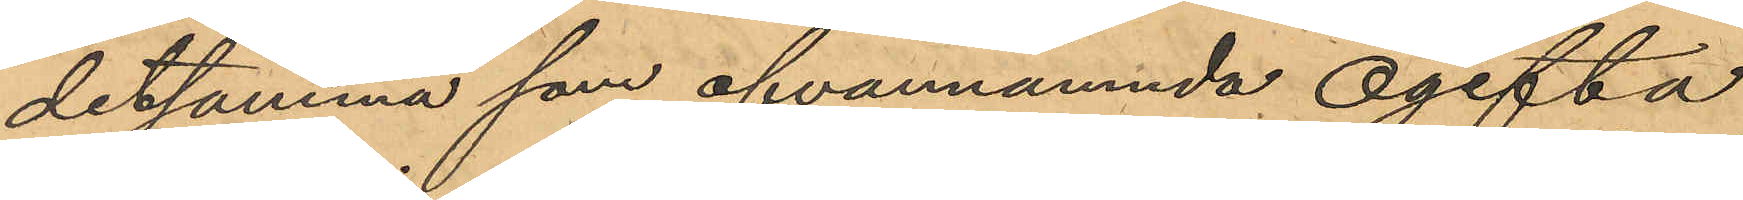detsamma som ofvannämnda ogifta
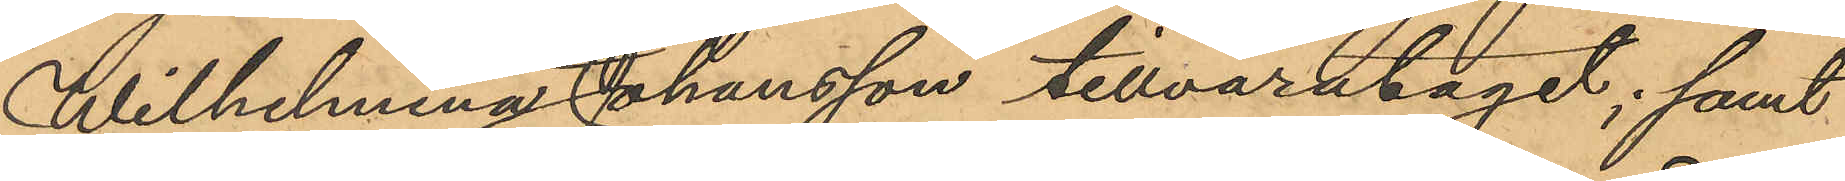Wilhelmina Johansson tillvaratagit; samt
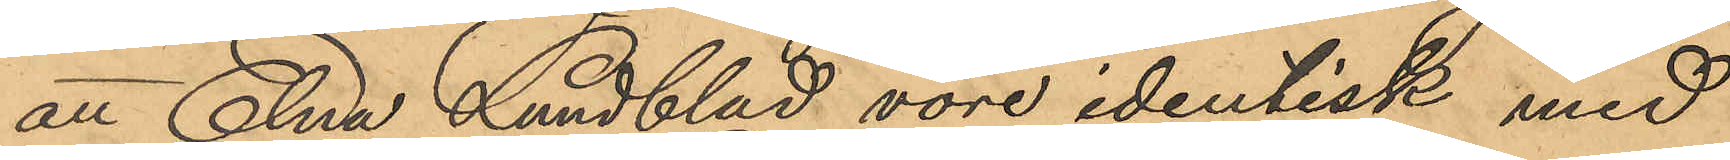att Elna Lundblad vore identisk med
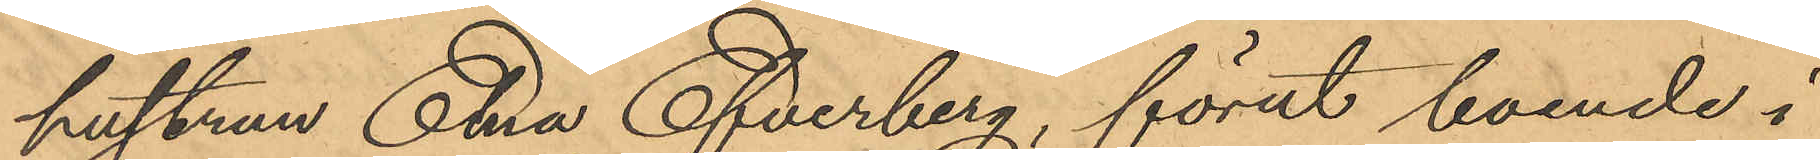hustrun Elna Efverberg, förut boende i
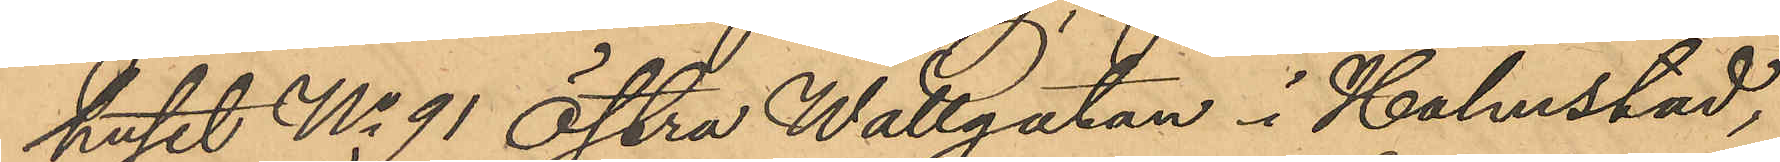huset No 91 Östra Wallgatan i Halmstad,
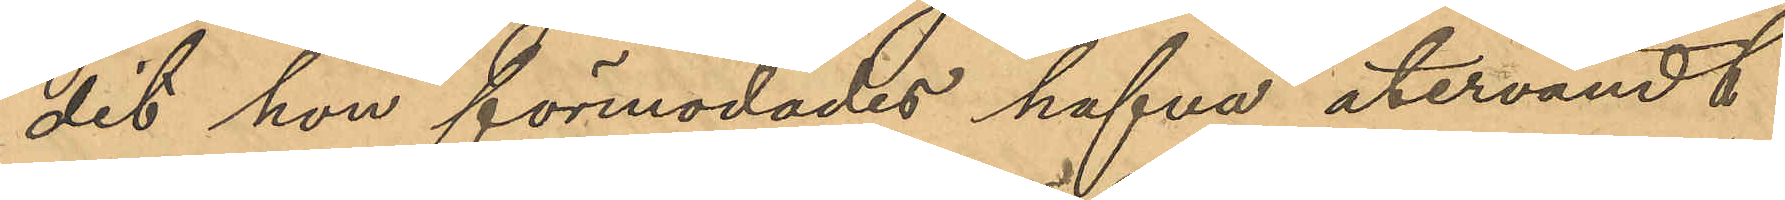dit hon förmodades hafva återvändt.
